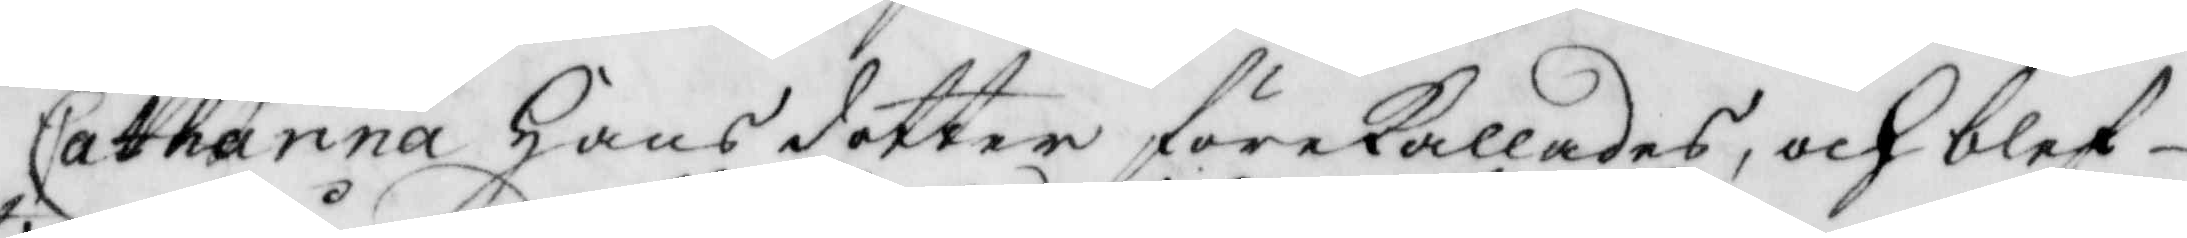Cathanna Hans dotter förekallades, och blef
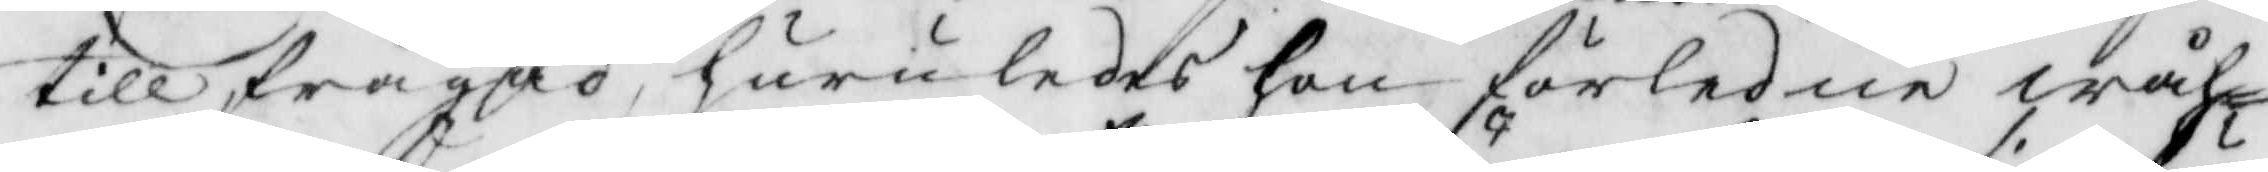tillfrågad, huruledes hon förledne wåh¬
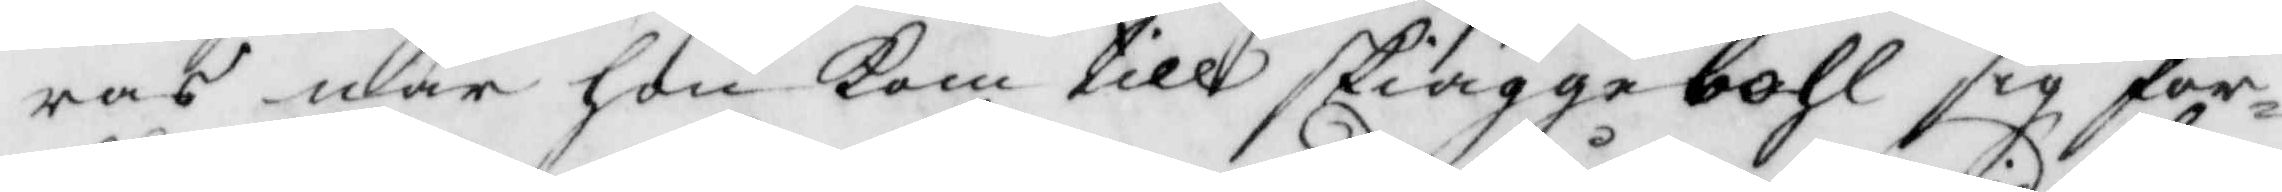ras när hon kom till skiäggebohl sig för¬
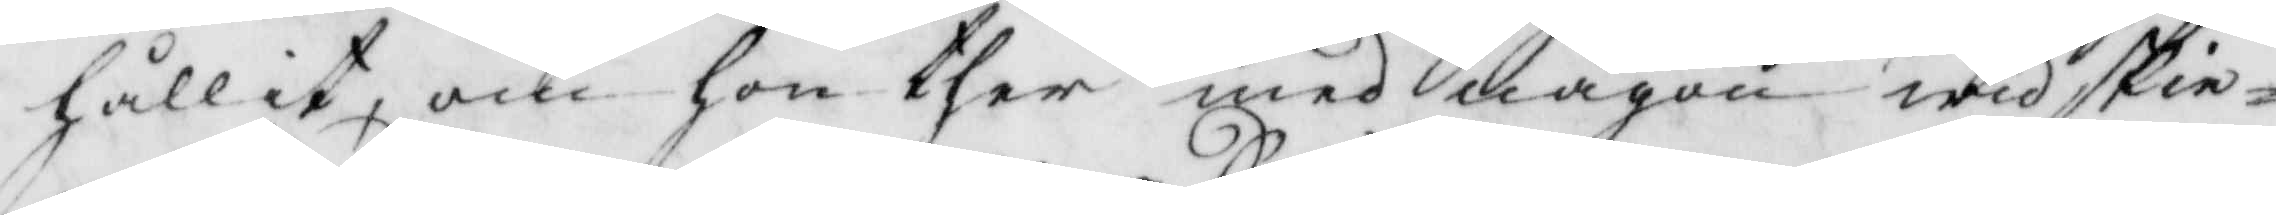hållit, om hon ther med någon wid skie¬
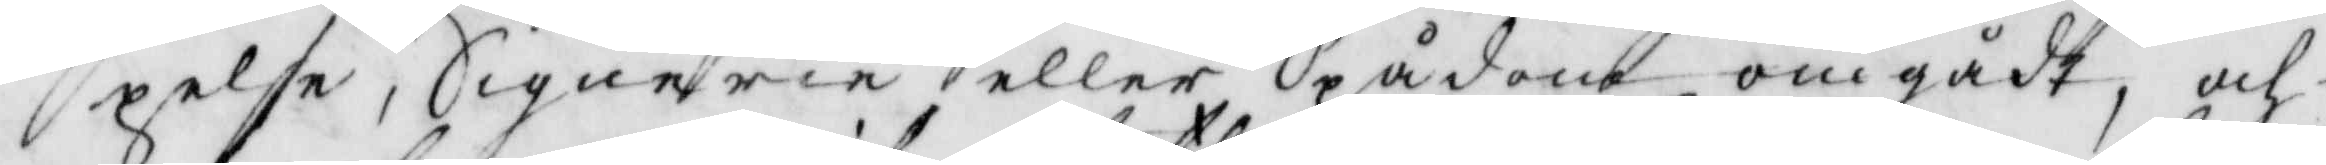pelse, Signerie eller Spådom omgådt, och
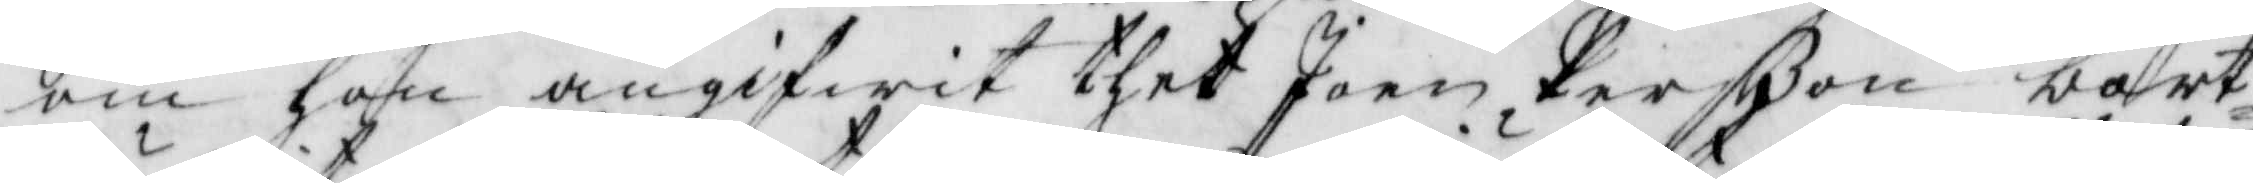om han angifwit thet Joen Perßon bort¬
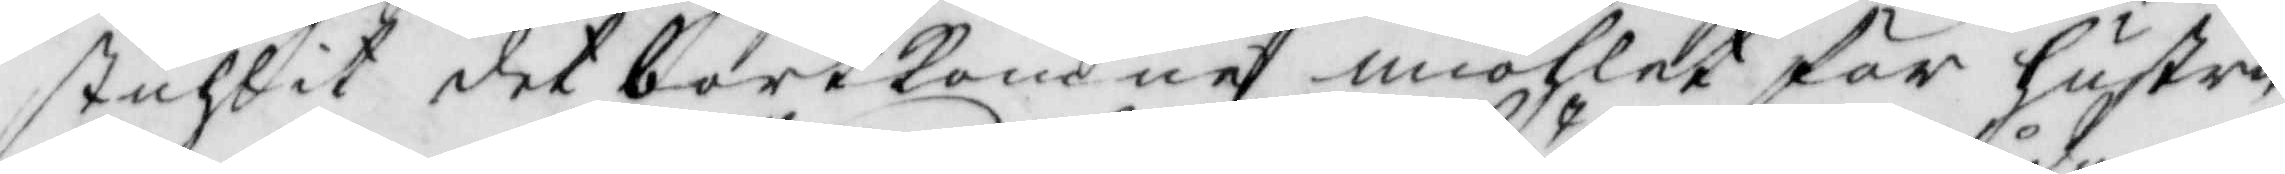stuhlit det bortkomne miöhlet för hustru
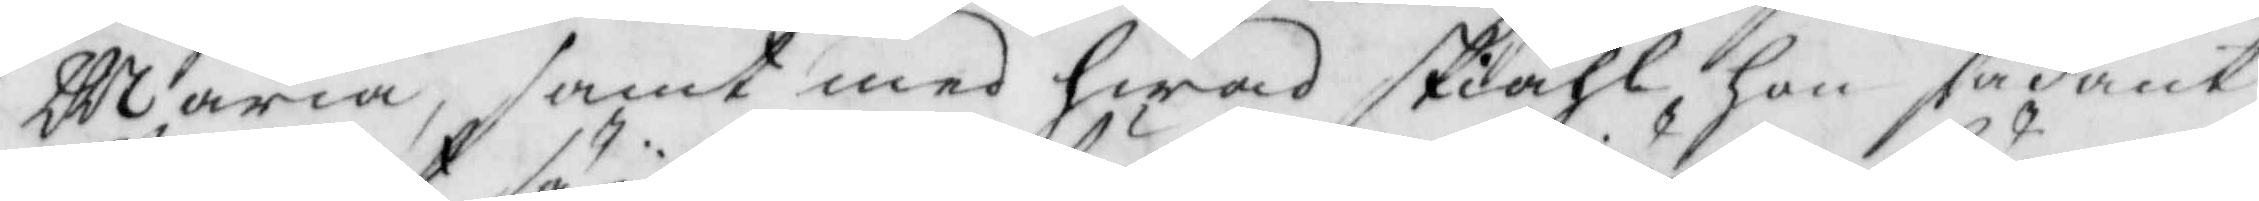Maria, samt med hwad skiähl hon sådant
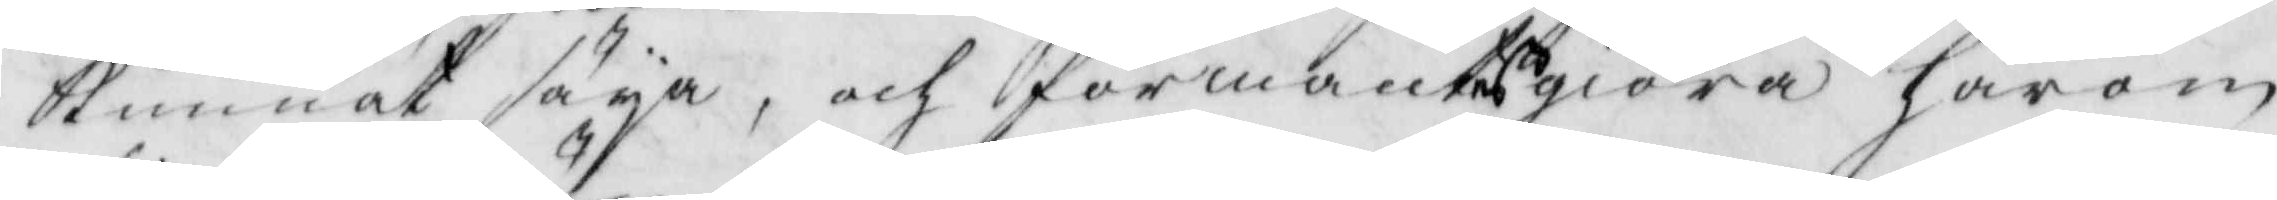kunnat säya, och förmantes giöra härom
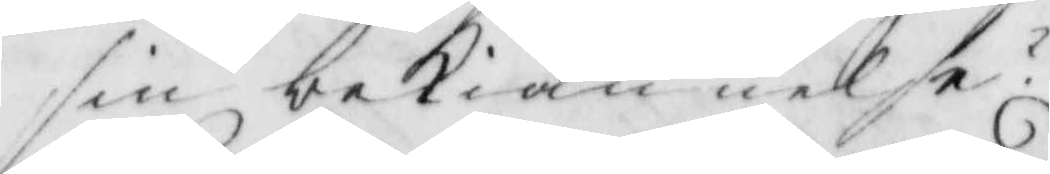sin bekiännelse?
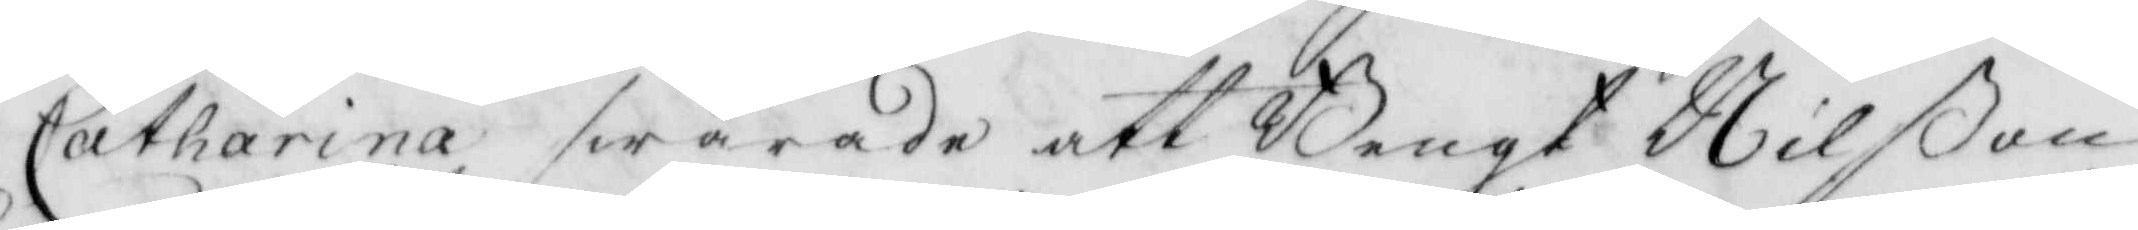Catharina swarade att Bengt Nilßon
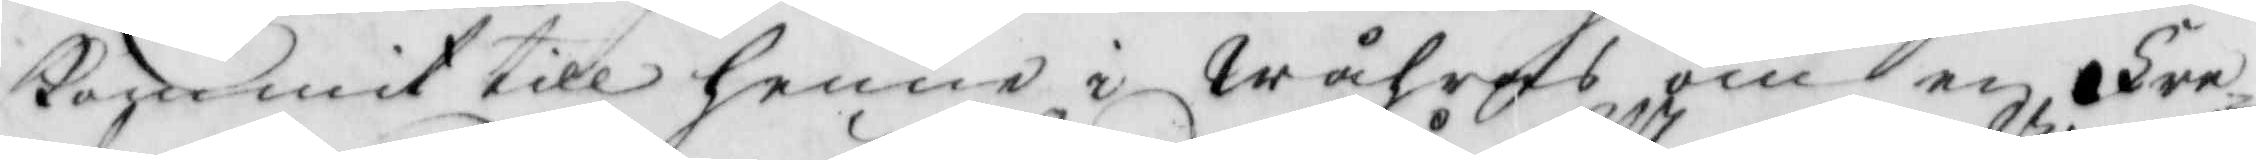kommit till henne i wåhras om en Fre¬
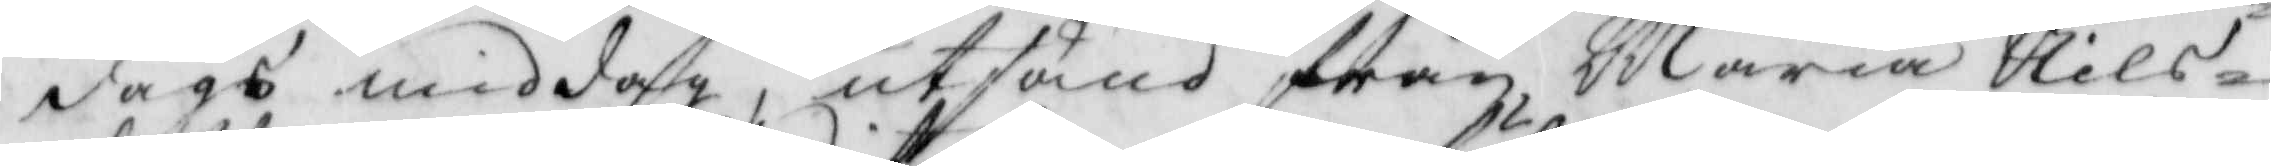dags middag, utsänd från Maria Nils¬
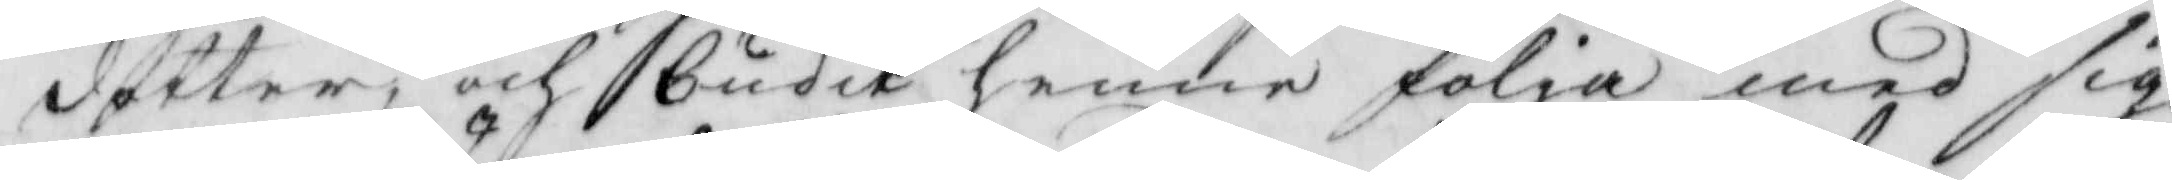dotter, och budit henne följa med sig
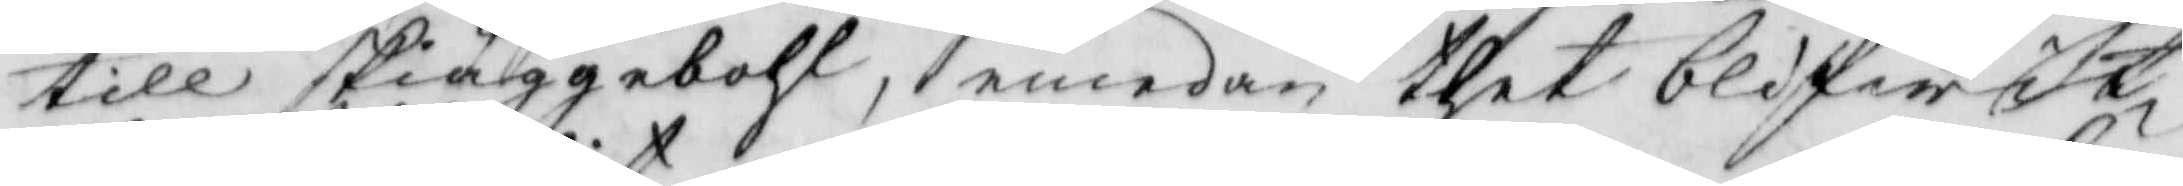till skiäggebohl, emedan thet blifwit
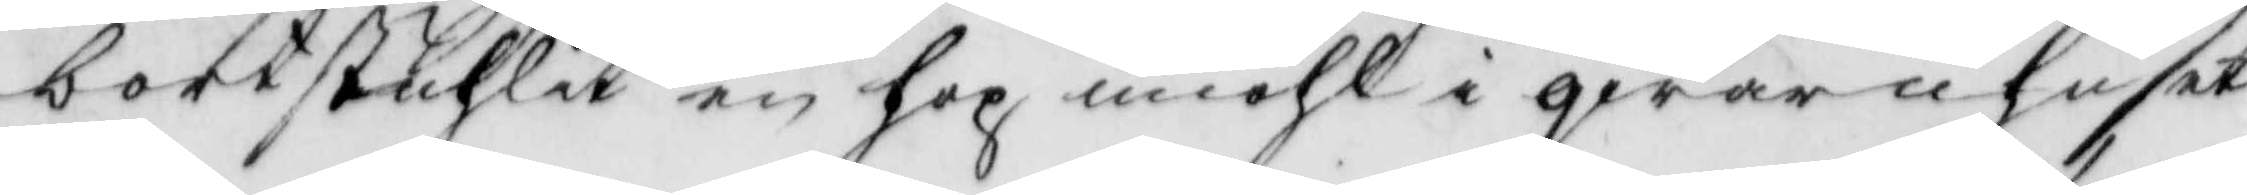bortstuhlit en hop miöhl i qwarnhuset
